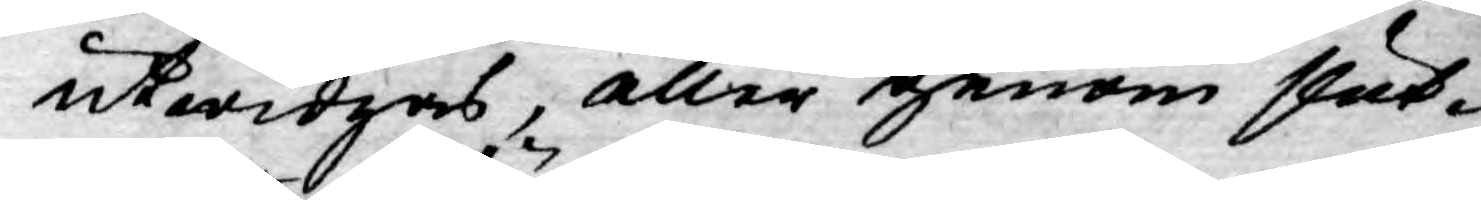utwidgas, eller genom slut¬
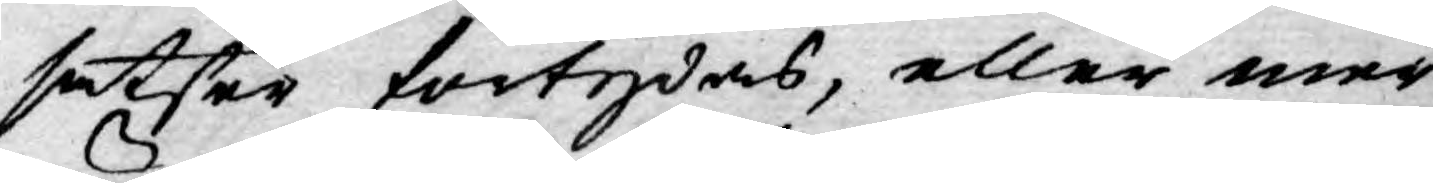satser förtydas, eller mer
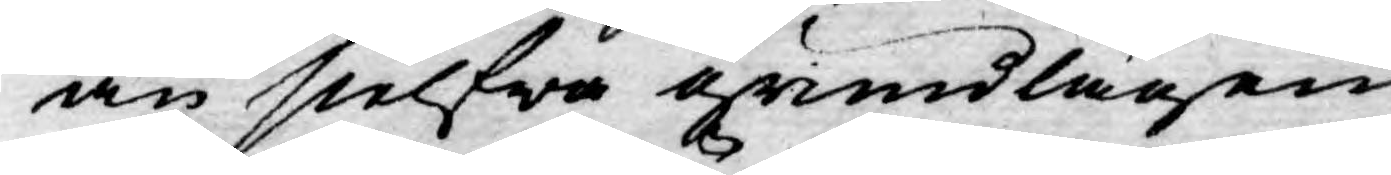än sielfwa grundlagen
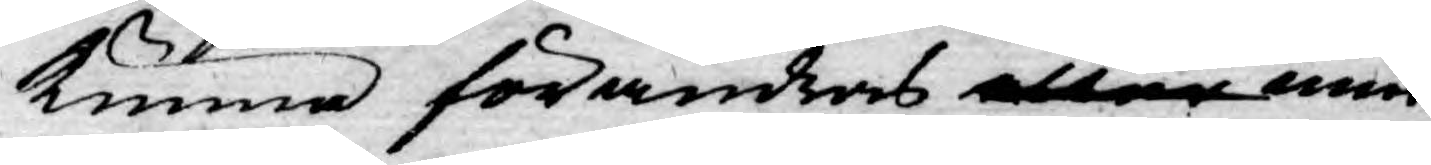kunna förändras eller min¬
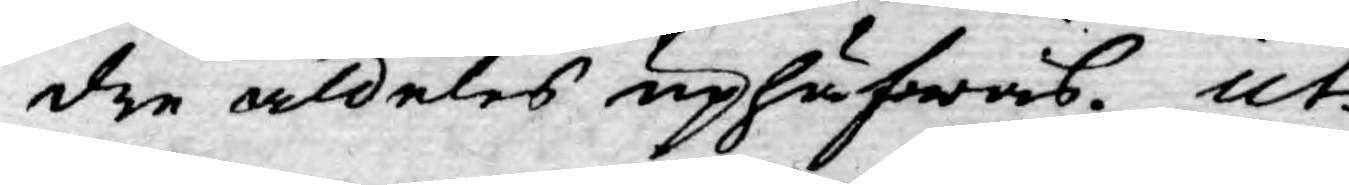dre aldeles uphäfwas. Ut
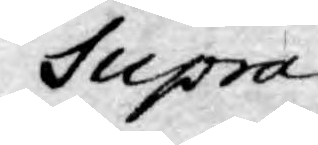Supra
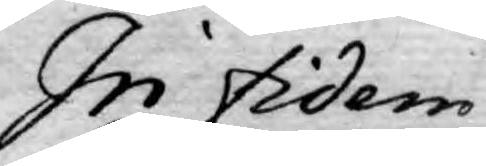In fidem
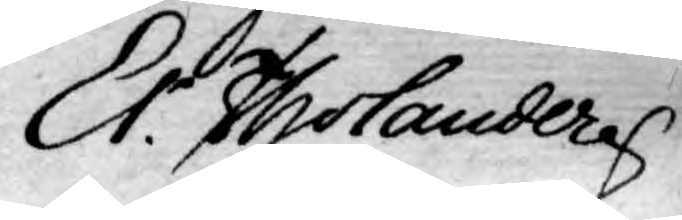Er. Tholander
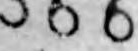366
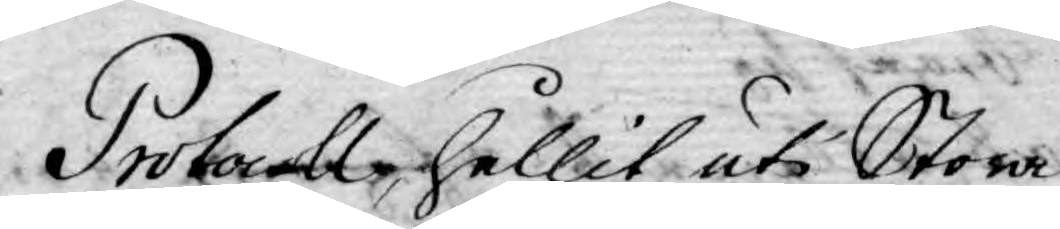Protocoll hållit uti Stora
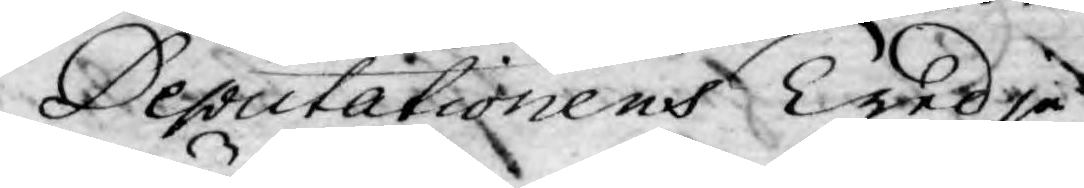Deputationens Tredje
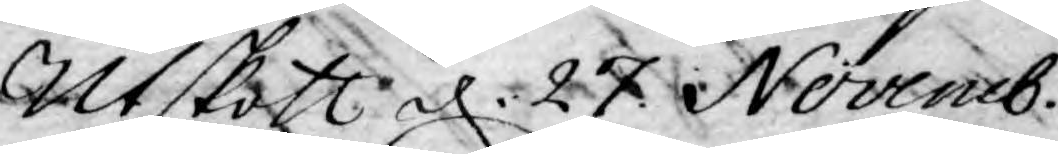Utskott d. 27 Novemb.
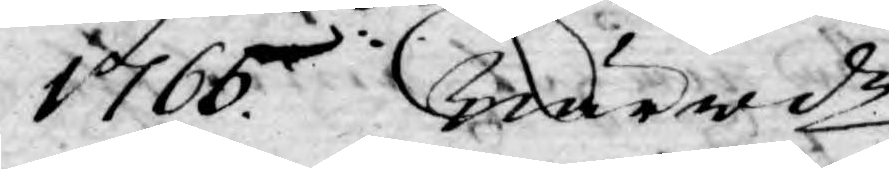1765. Närwde
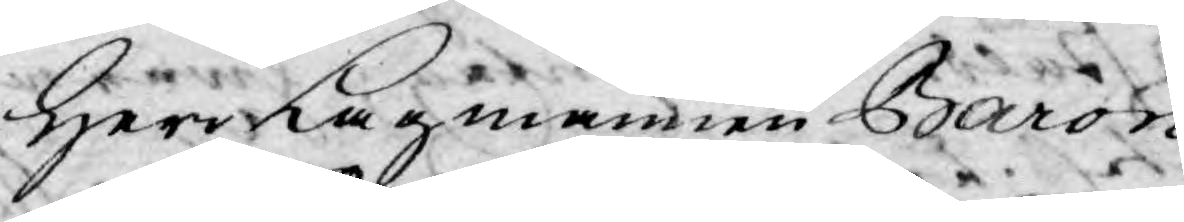Herr Lagmannen Baron
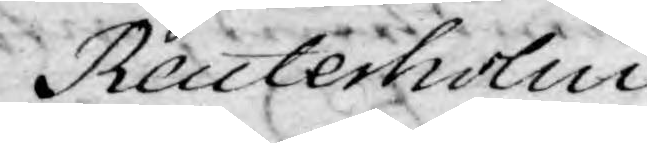Reuterholm
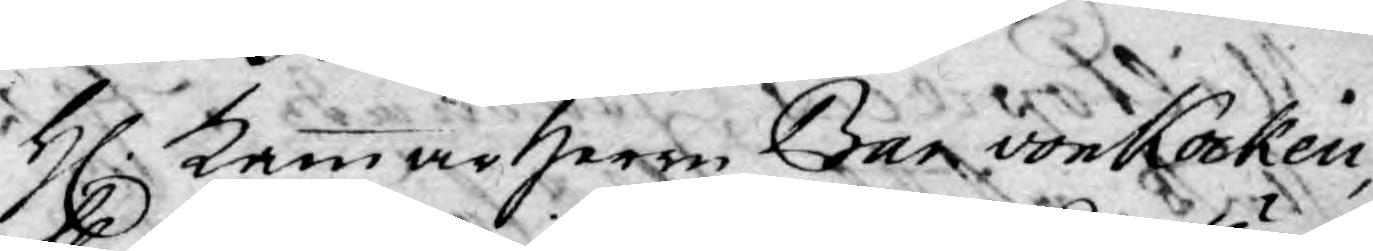H. Kammarherre Bar. von Kocken,
